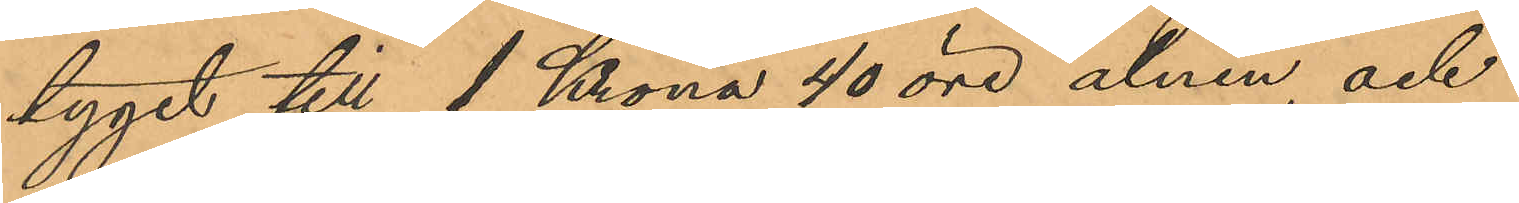tyget till 1 Krona 40 öre alnen, och
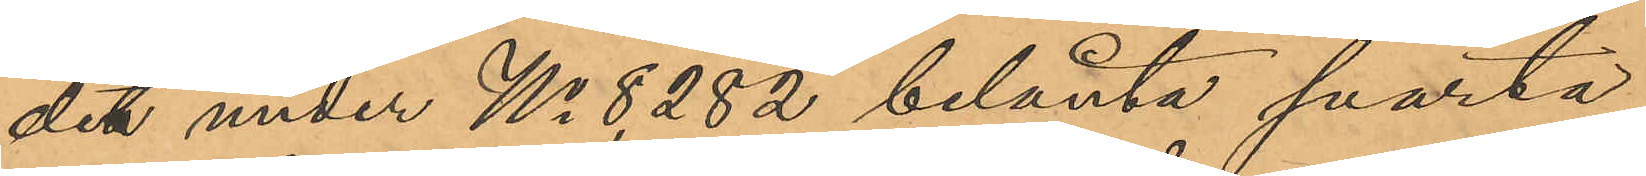det under No 8,282 belånta svarta
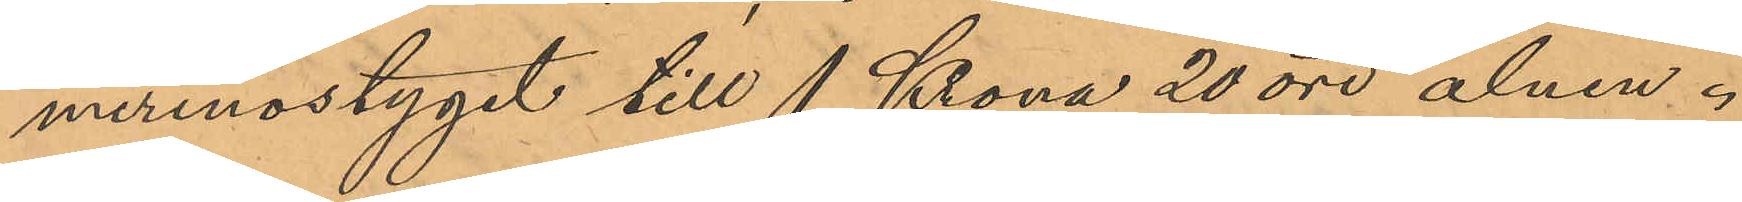merinostyget till 1 Krona 20 öre alnen.
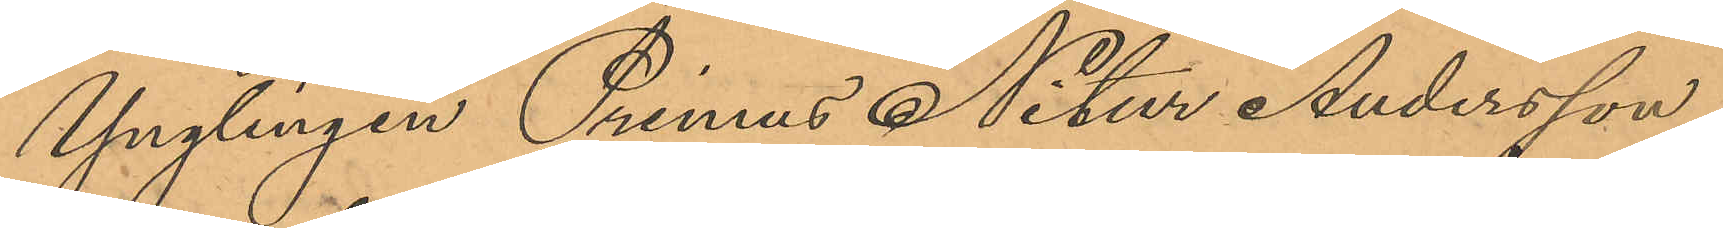Ynglingen Primus Nitur Andersson
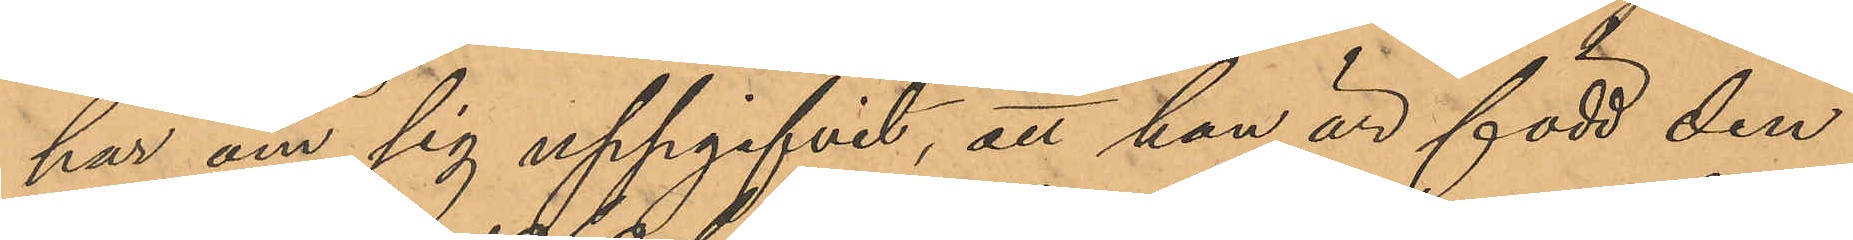har om sig uppgifvit, att han är född den
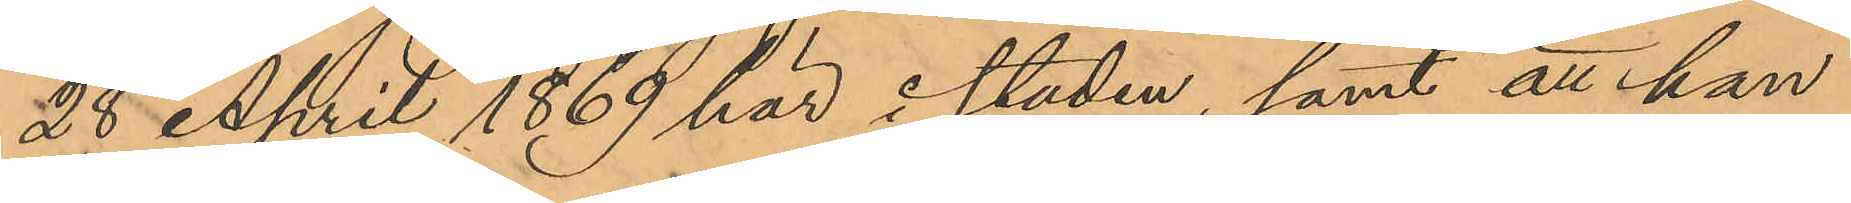28 April 1869 här i staden, samt att han
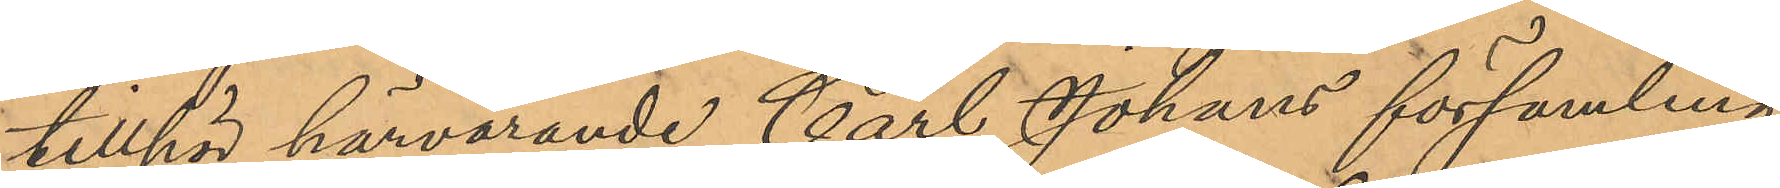tillhör härvarande Carl Johans församling.
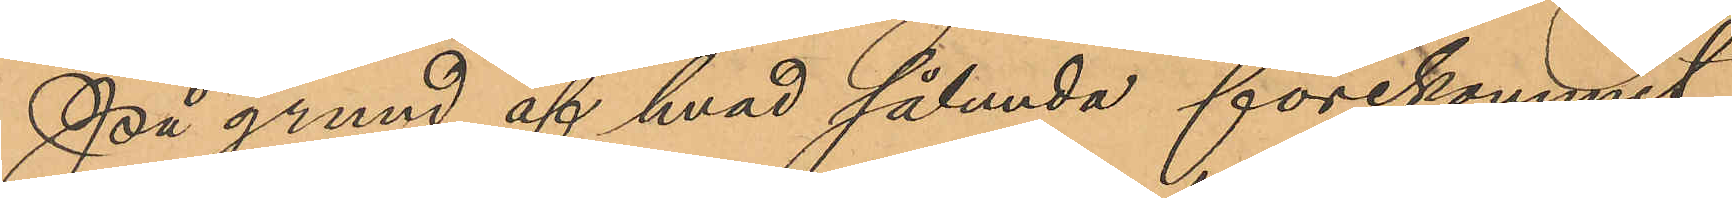På grund af hvad sålunda förekommit
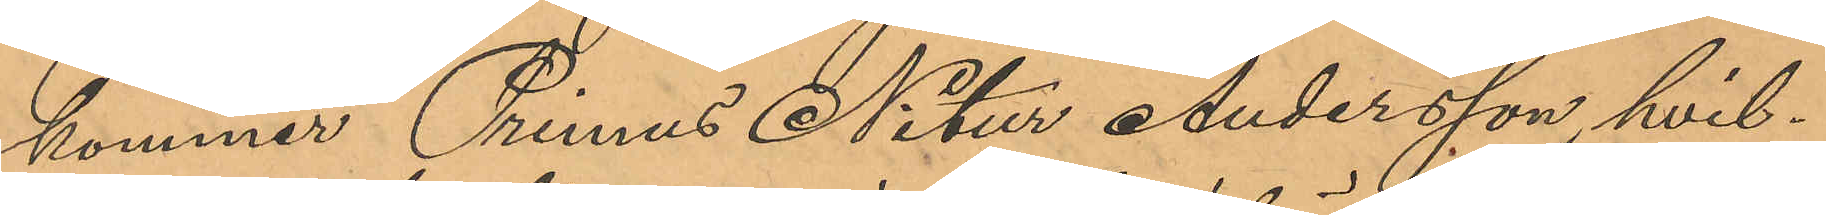kommer Primus Nitur Andersson, hvil¬
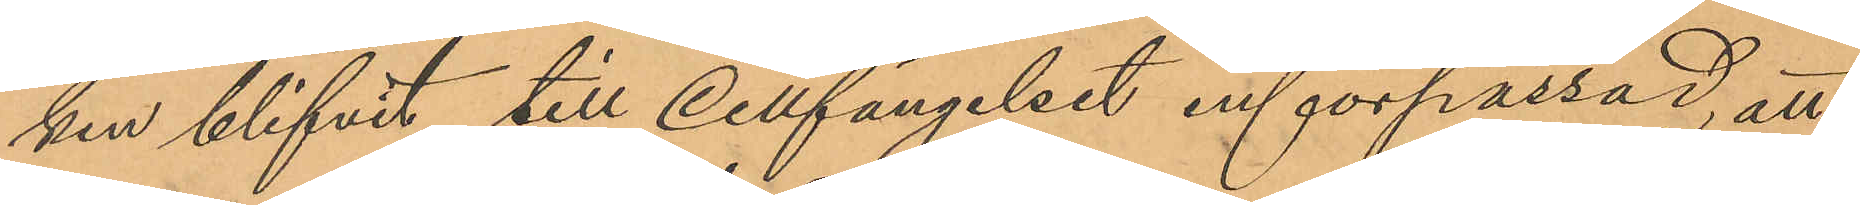ken blifvit till Cellfängelset införpassad, att
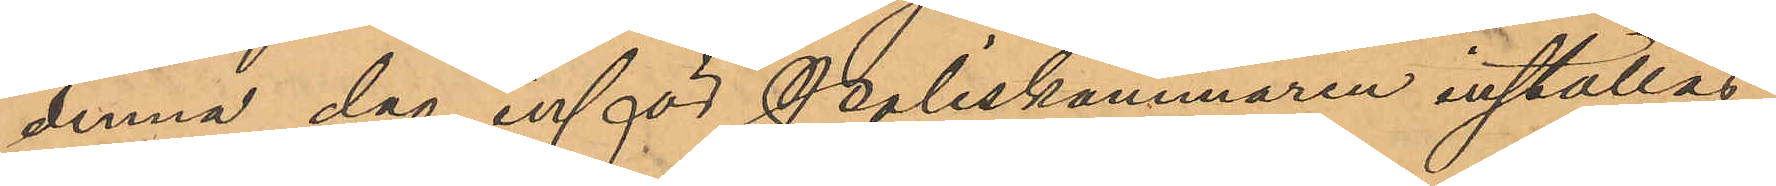denna dag inför Poliskammaren inställas.
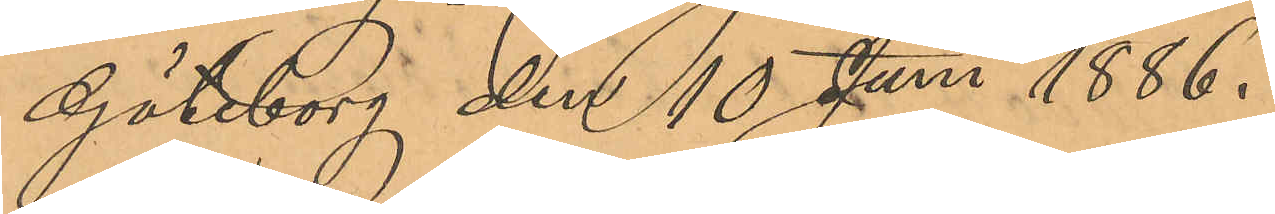Göteborg den 10 Juni 1886.
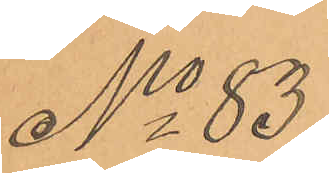No 83.
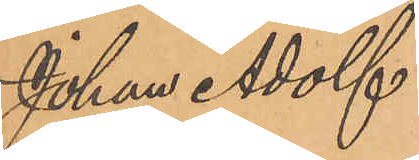Johan Adolf
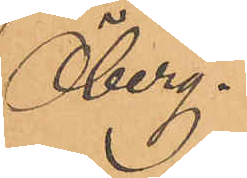Öberg.
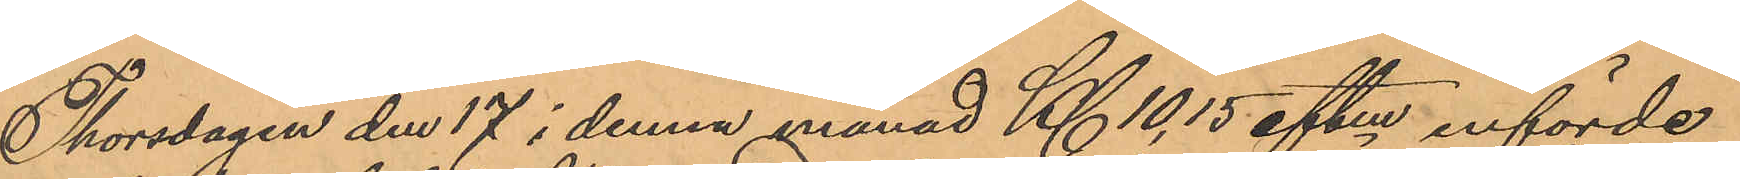Thorsdagen den 17 i denna månad Kl 10,15 eftm införde
